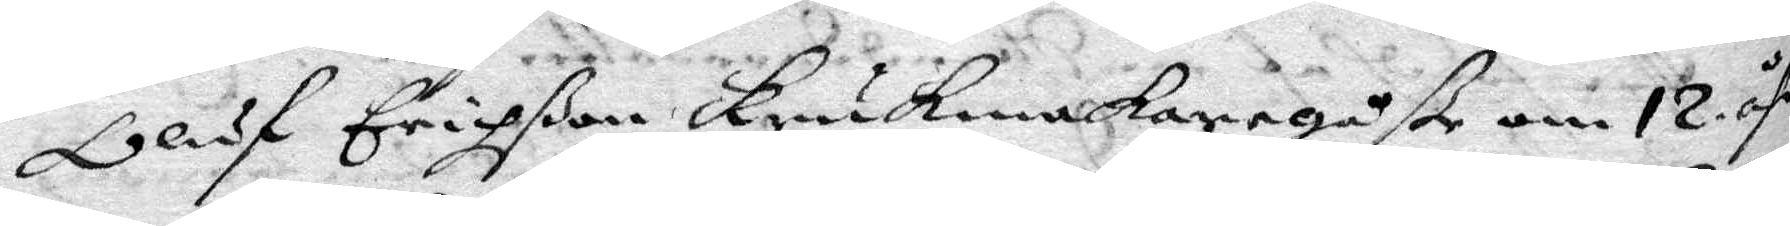Oluf erichßon krukmakaregåße om 12 åhr
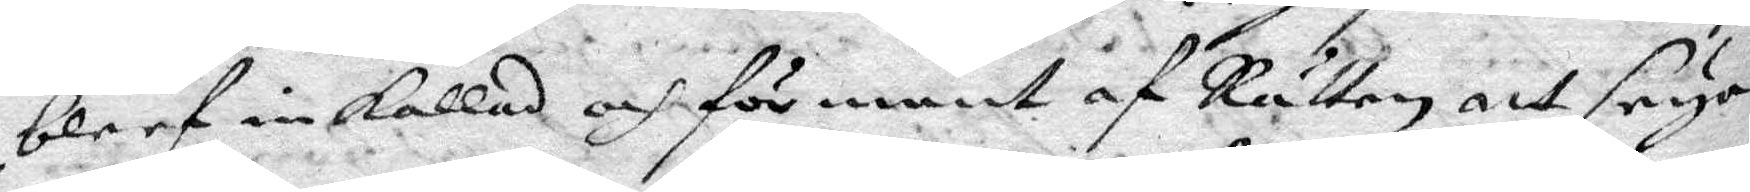bleef inkallad och för mant af Rätten att seya
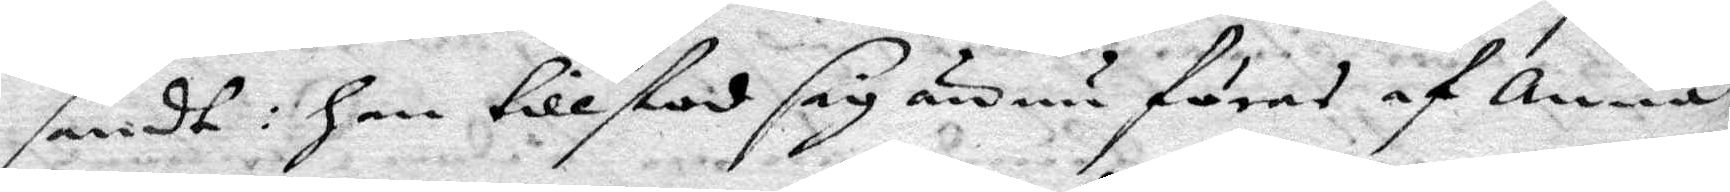sandt: han tillstod sig ännu föras af anna
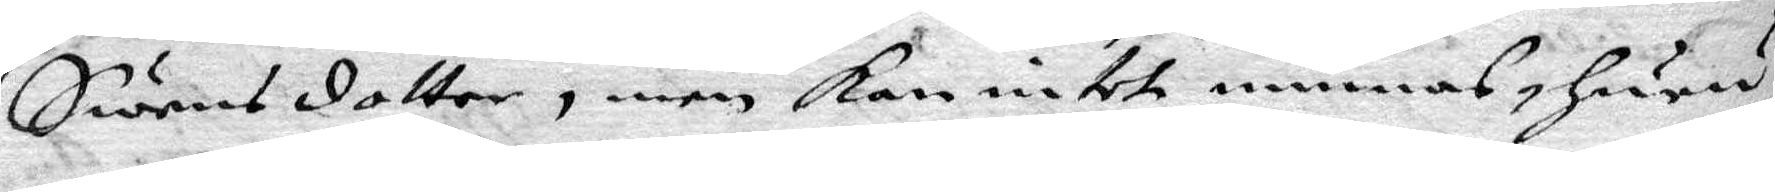Swensdotter, men kan intet minnas huru
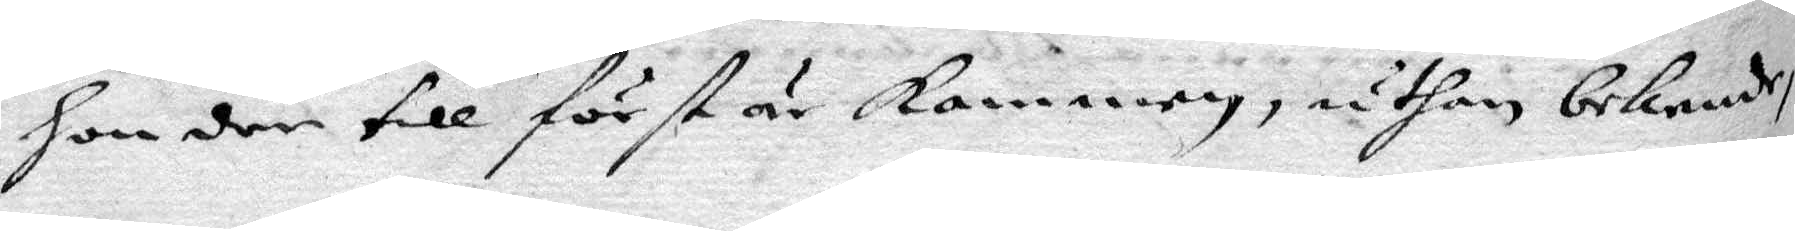han der till först är kommen, uthan bekende
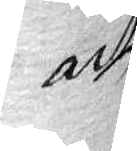att
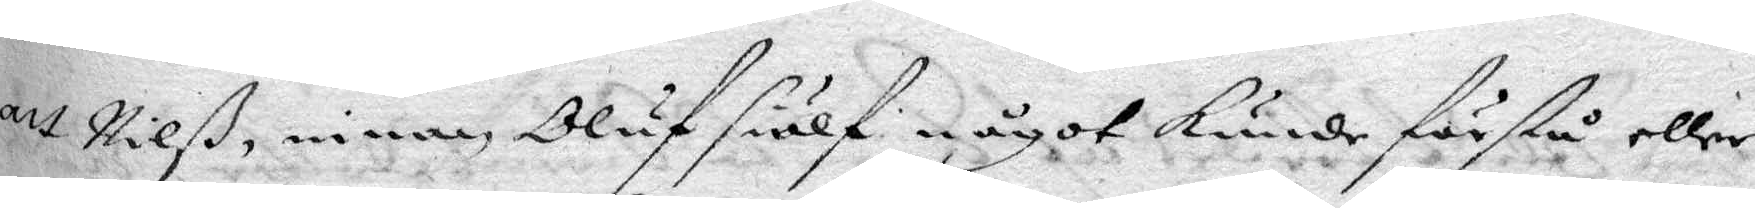att Nilß, innan Oluf siälf något kunde förstå eller
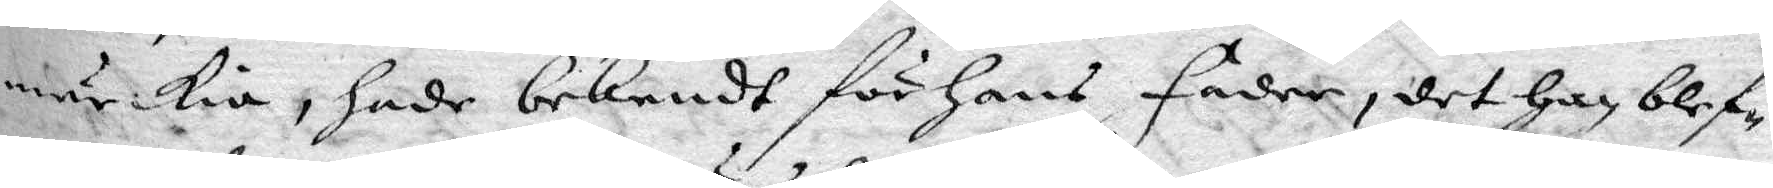märkia, hade bekendt för hans fader, det han blef¬
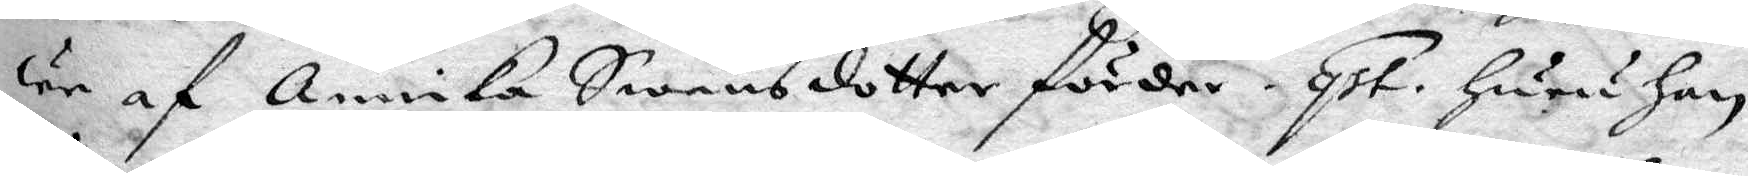we af annika Swensdotter förder. Qst. huru han
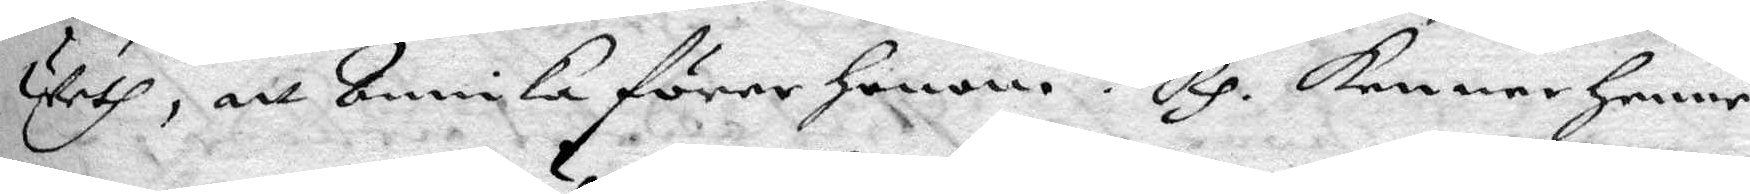weth, att Annika förer honom? Rp. kenner henne
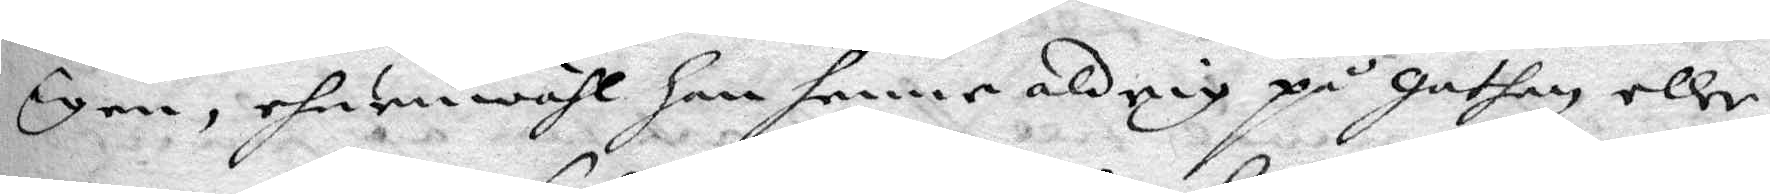igen, ehuruwähl han henne aldrig på gathan eller
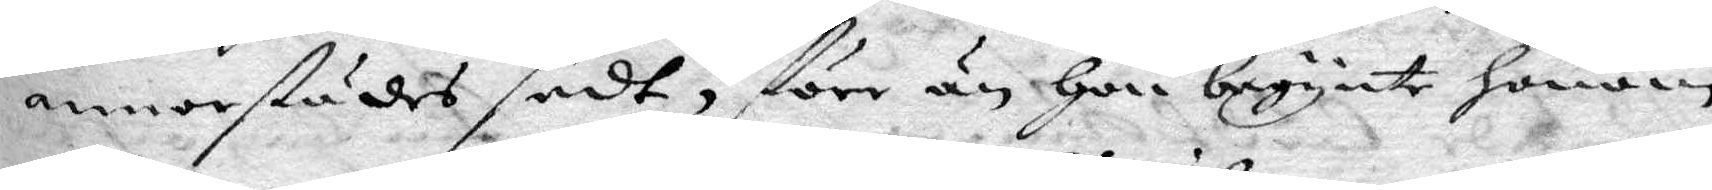annorstädes sedt, förr än hon begynte honom
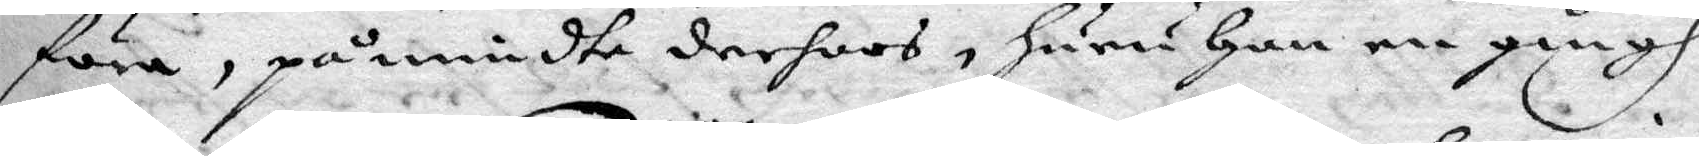föra. påmindte derhoos, huru han en gångh
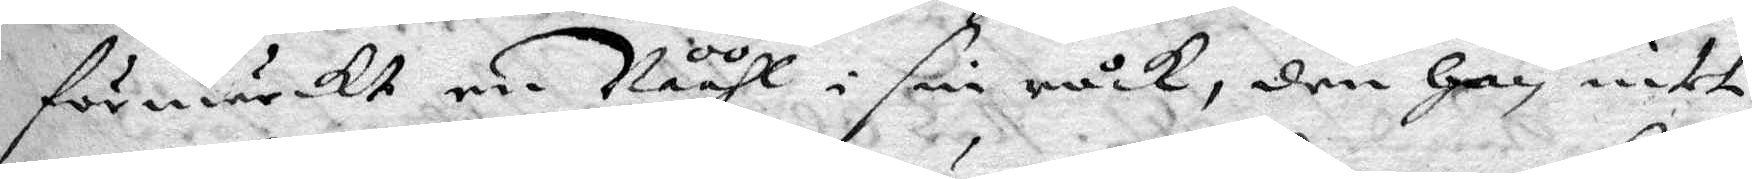förmärckt en Nååhl i sin råck, den han intet
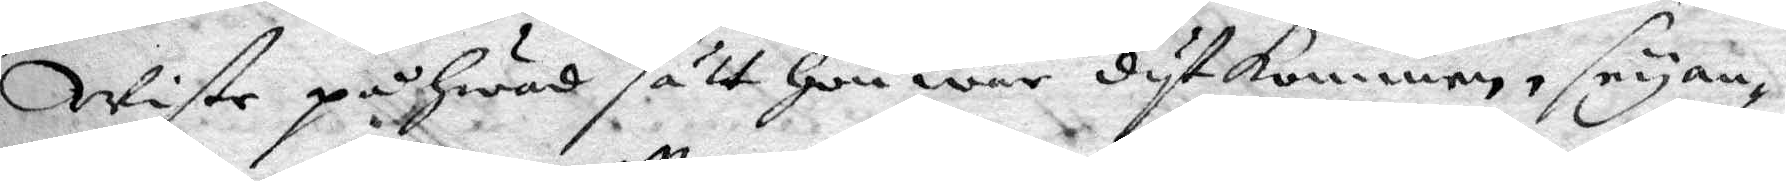Wiste på hwad sätt hon war dytkommen, seyan¬
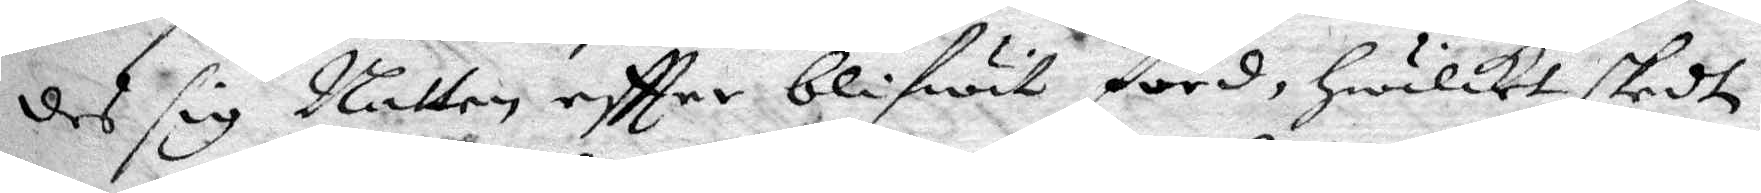des sig Natten eftter blifwit förd, hwilket skedt
